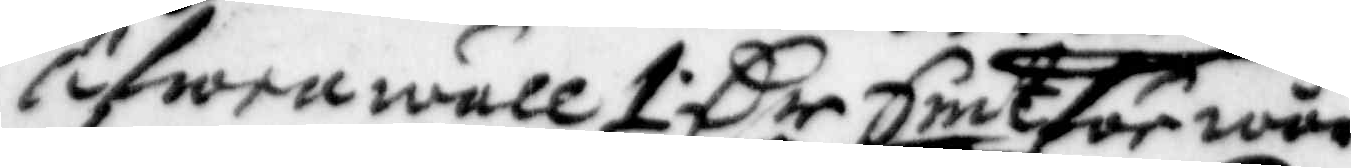äfwenwäll 1 Cr Smt för wår
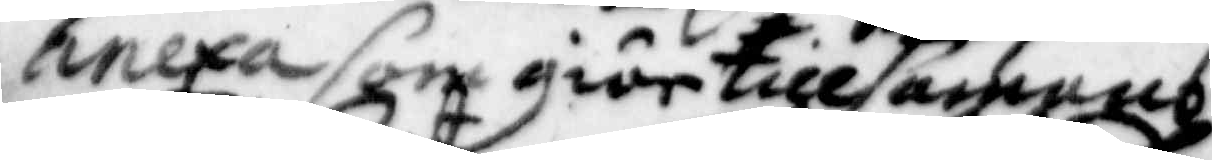anexa som giör tillsammans
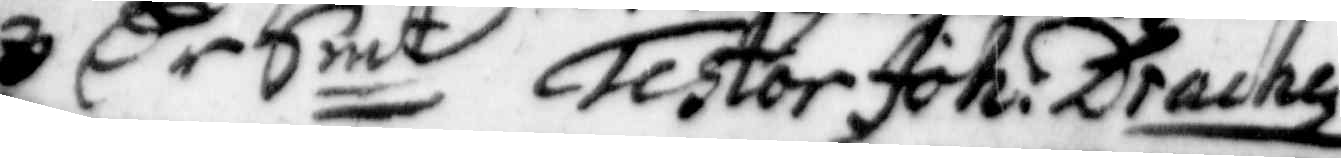3 Cr Smt Testor Joh. Drachez
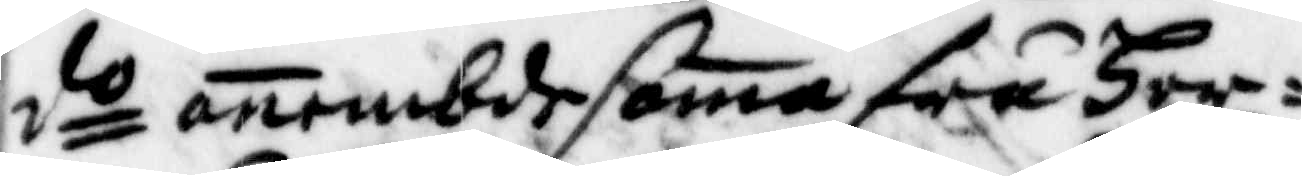do anembde sama fru Her¬
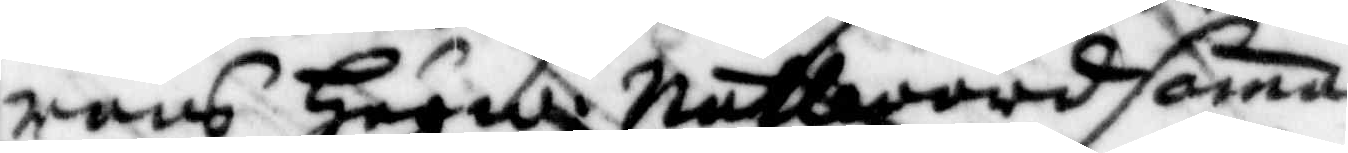rans Högw. Nattward sama
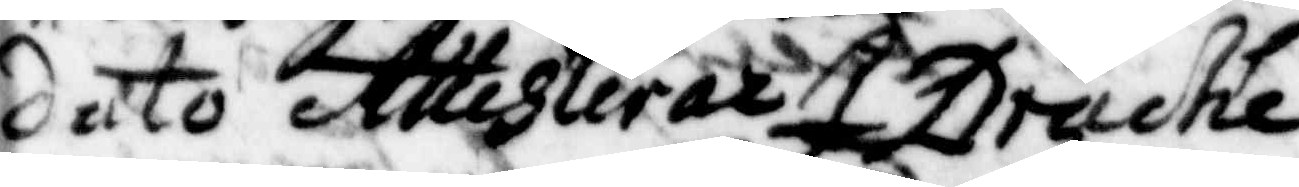dato Attesterar J Drache
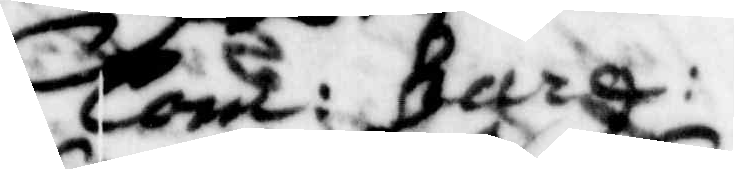Com: Berg:
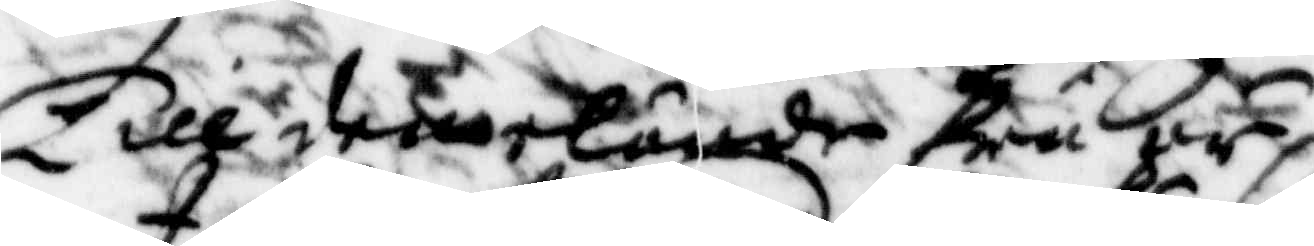Till dene eländie Fru är
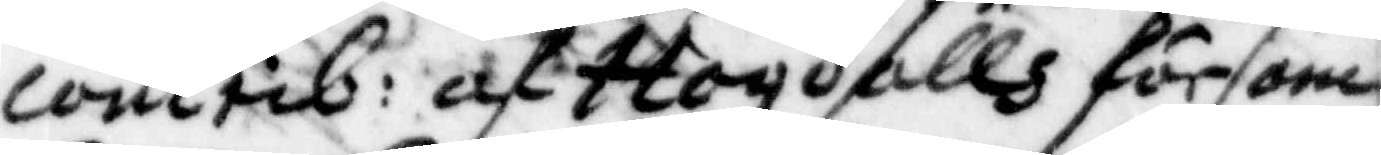contrib: af Hogdalls försam¬
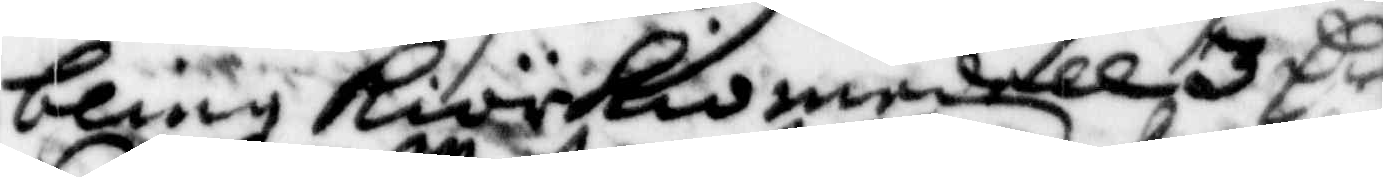bling Kiörkiomedell 3 Cr
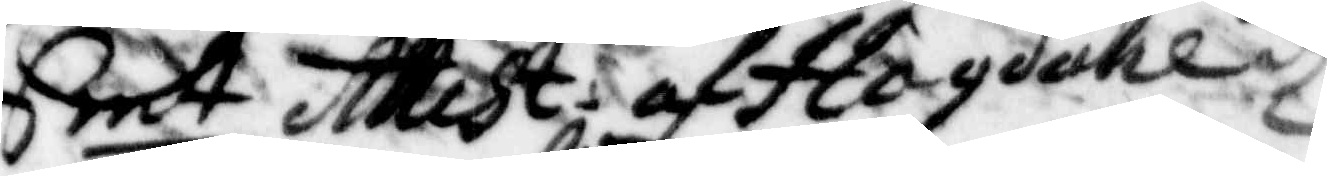Smt Attest af Hogdahldz
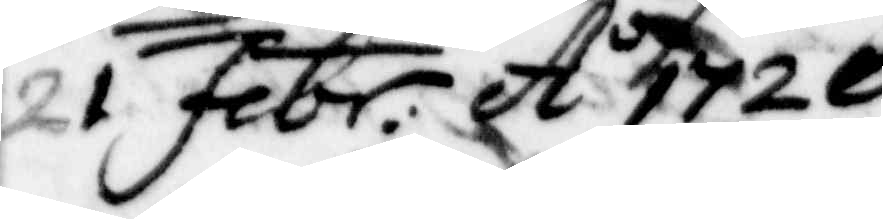1 Febr: Ao 1720
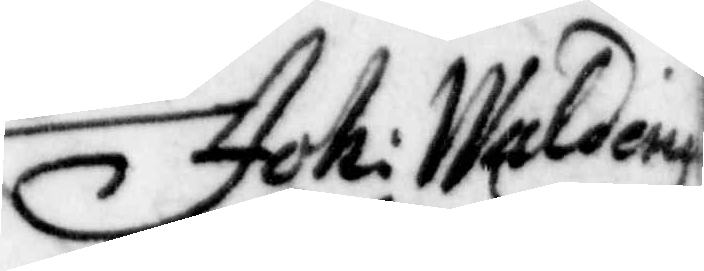Joh: Waldeinz
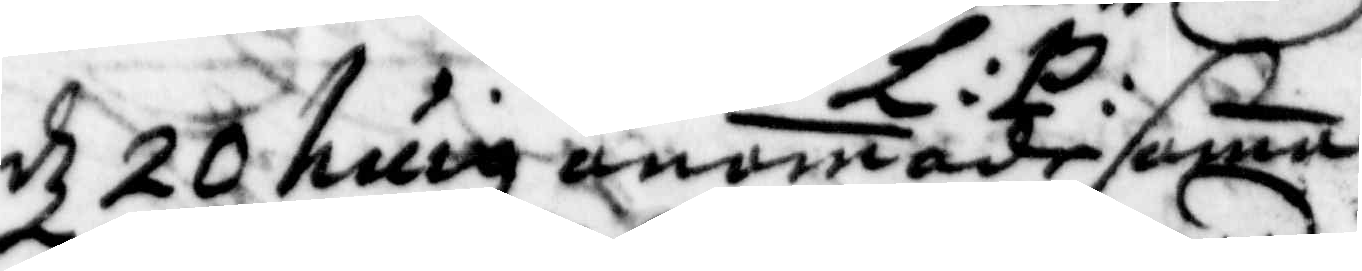d 20 huig anamade sama
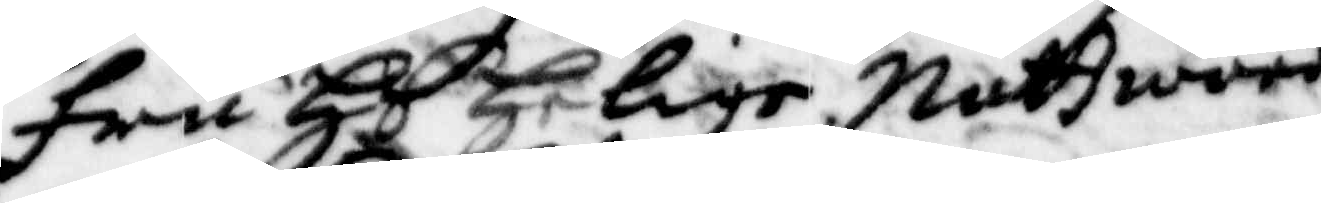Fru Hs Helige Nattward
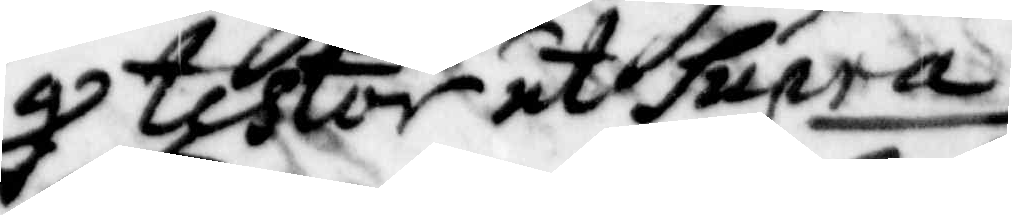g testor ut Supra
